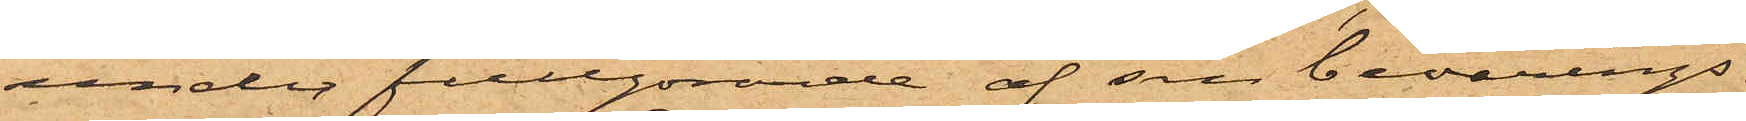under fullgörande af sin bevärings¬
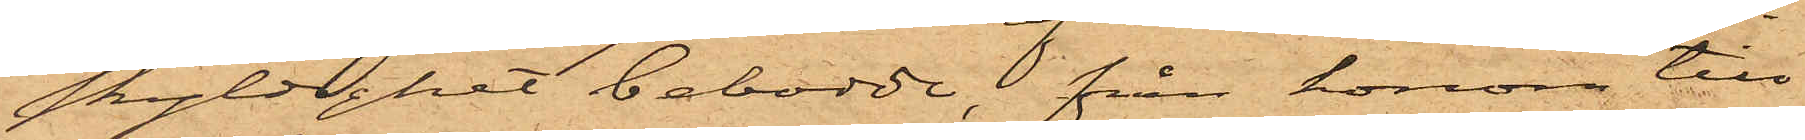skyldighet bebodde, från honom till¬
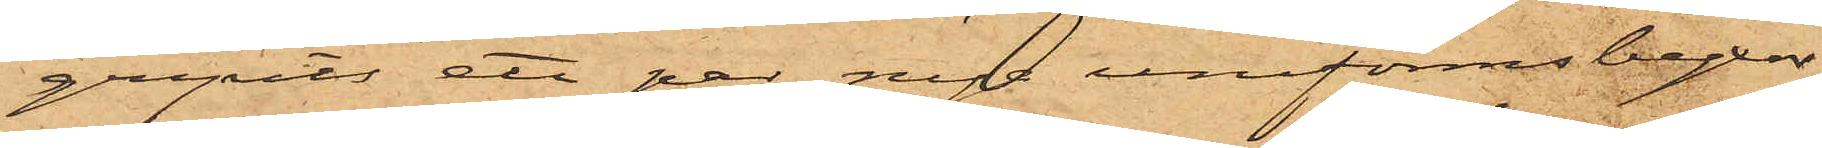gripits ett par nya uniformsbyxor
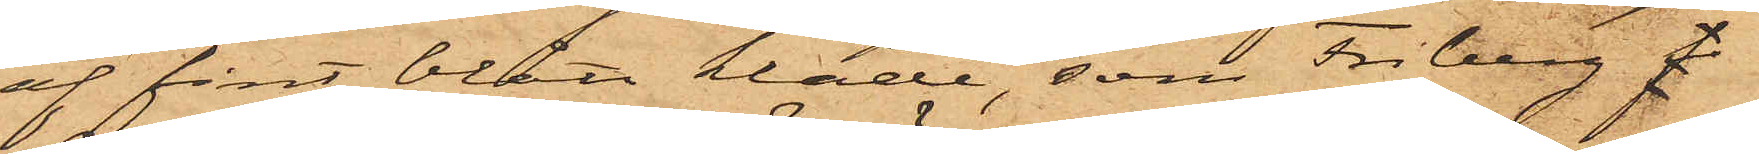af fint blått kläde, som Friberg f
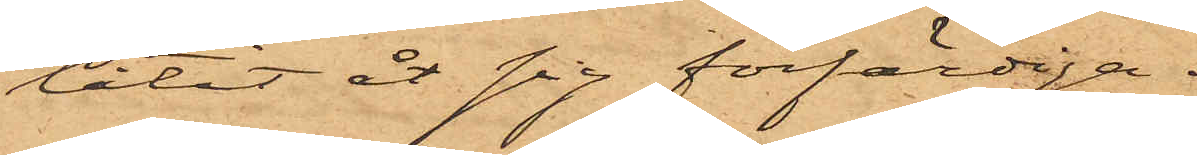låtit åt sig förfärdiga.
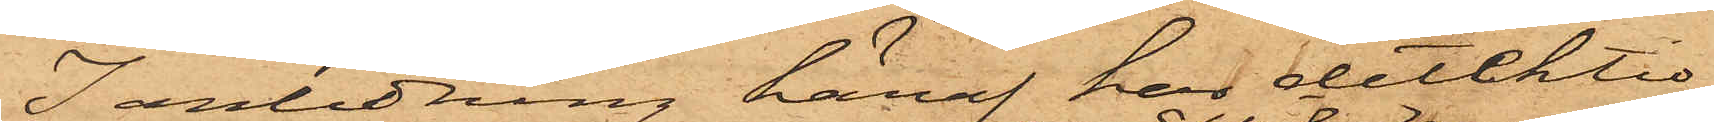I anledning häraf har detektiv¬
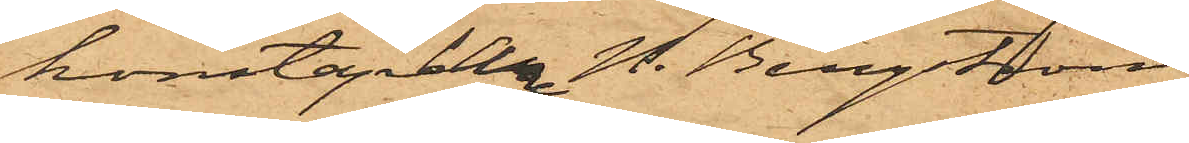konstaplarna H. Bergström
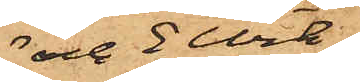och E Wik
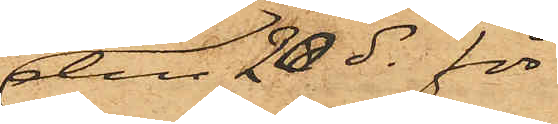den 20 ds för
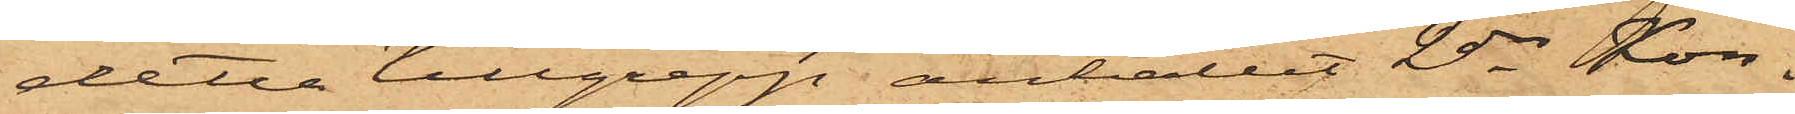detta tillgrepp anhållit 2dre Kon¬
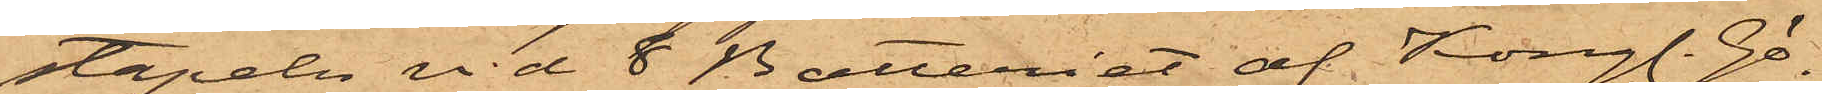stapeln vid 8 Batteriet af Kongl. Gö¬
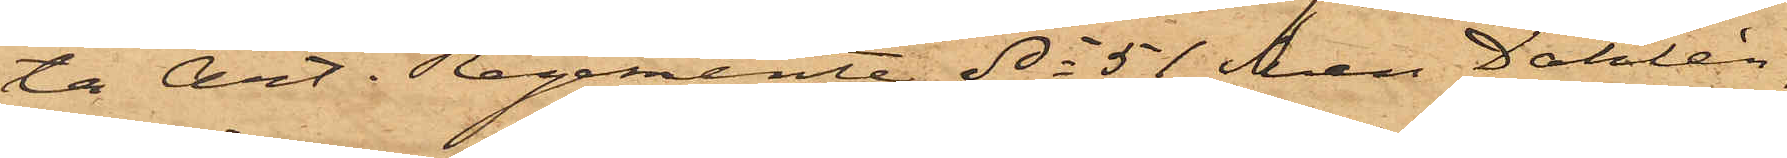ta Art. Regemente No 51 Sven Dahlén,
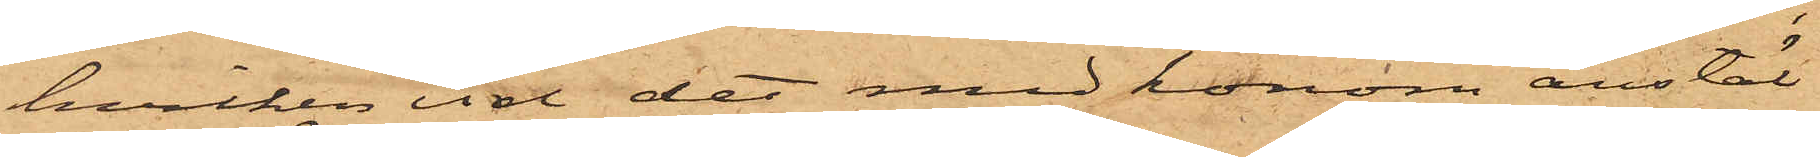hvilken vid det med honom anstäl¬
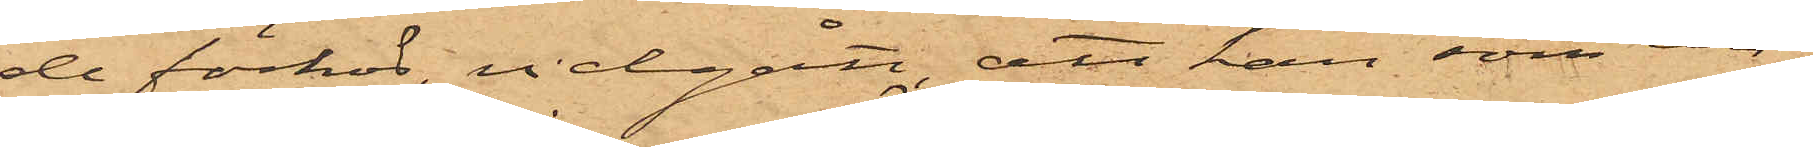de förhör, vidgått, att han som un¬
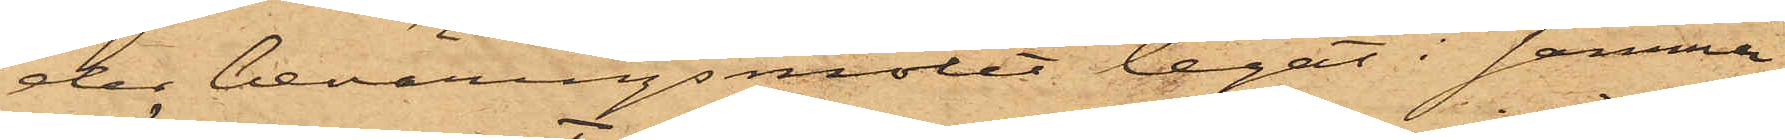der beväringsmötet legat i samma
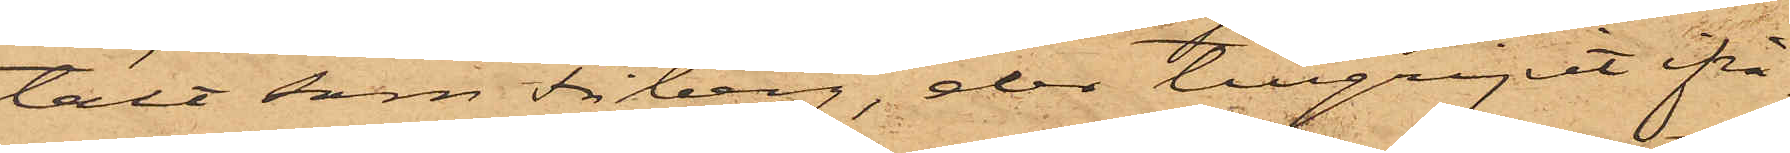tält som Friberg, der tillgripit ifrå¬
